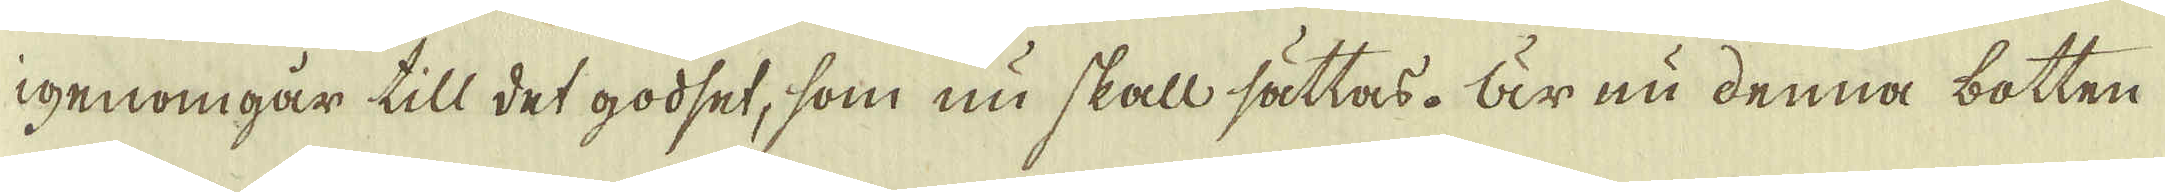igenomgår till det godset, som nu skall sättas. Är nu denna botten
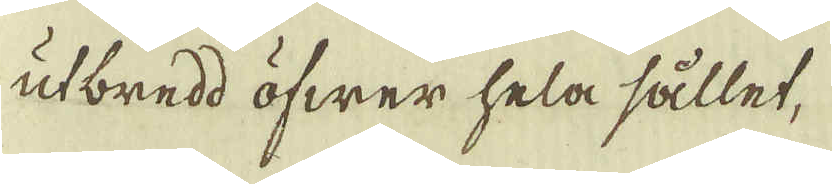utbredd öfwer hela sållet,
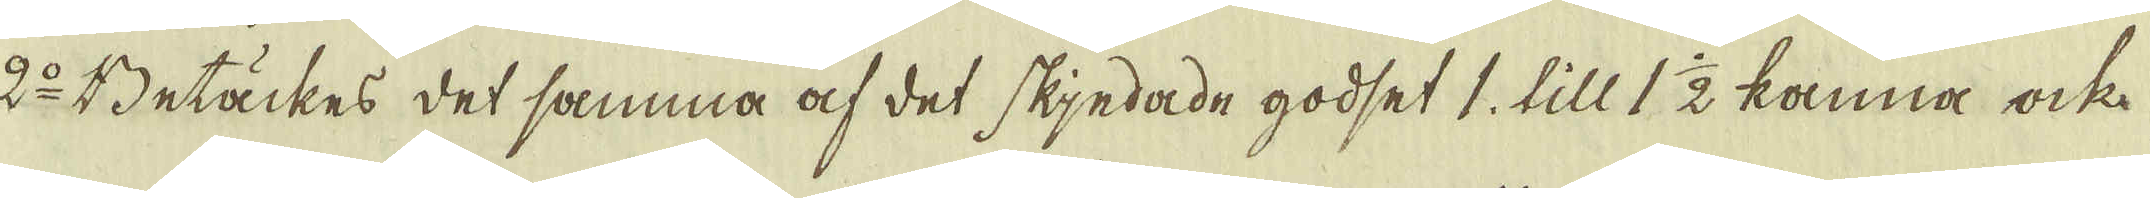2:o Betäckes det samma af det skjedade godset 1, till 1 1/2 kanna ock
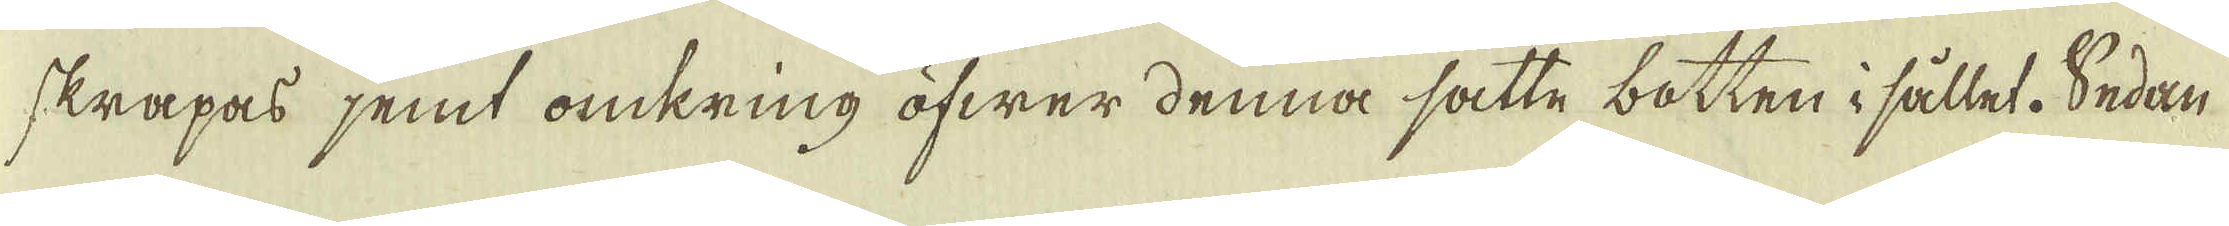skrapas jemt omkring öfwer denna satte botten i sållet. Sedan
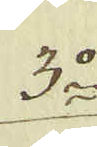3:o
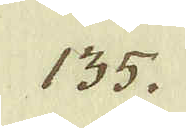135.
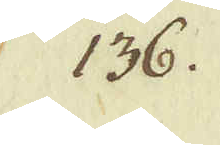136.
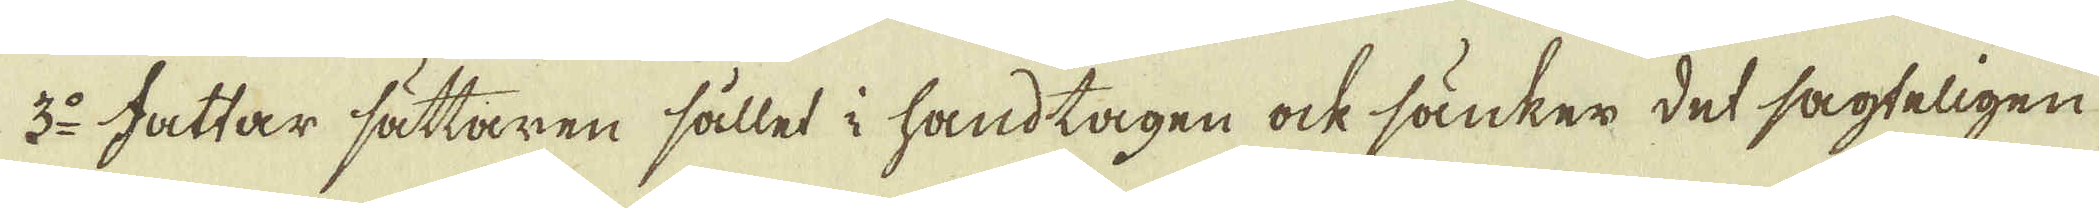3:o Fattar sättaren sållet i handtagen ock sänker det sagteligen
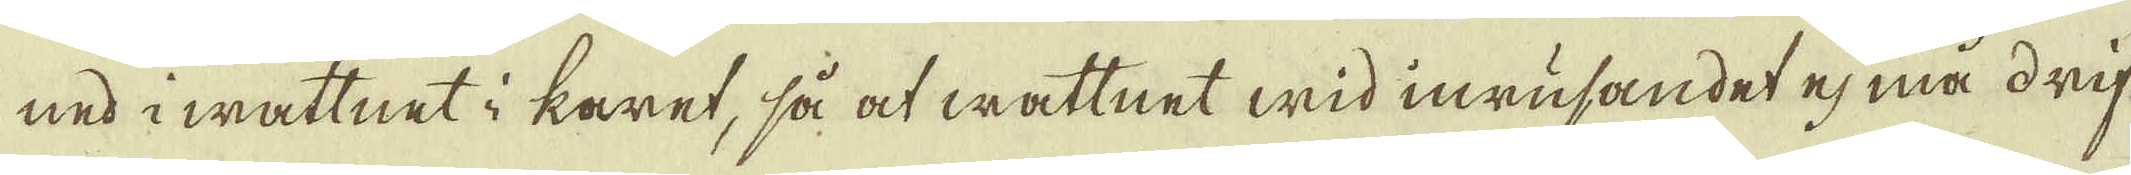ned i wattnet i karet, så at wattnet wid inrufandet ej må drif-
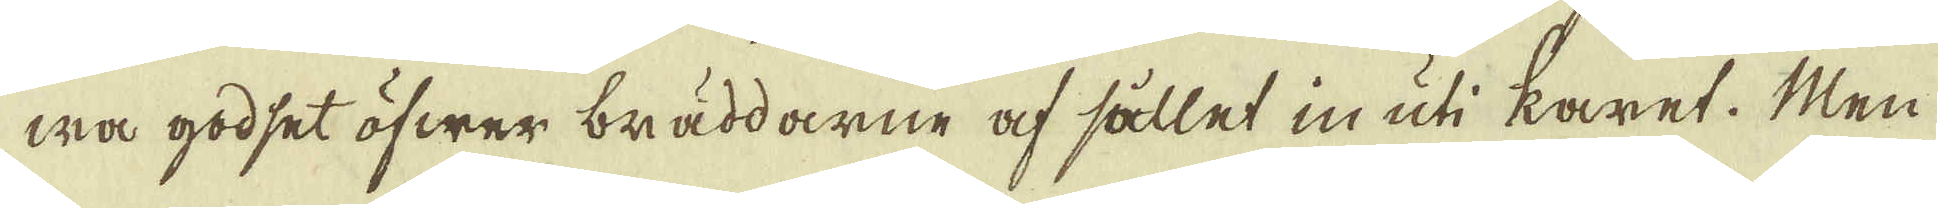wa godset öfwer bräddarne af sållet in uti karet. Men
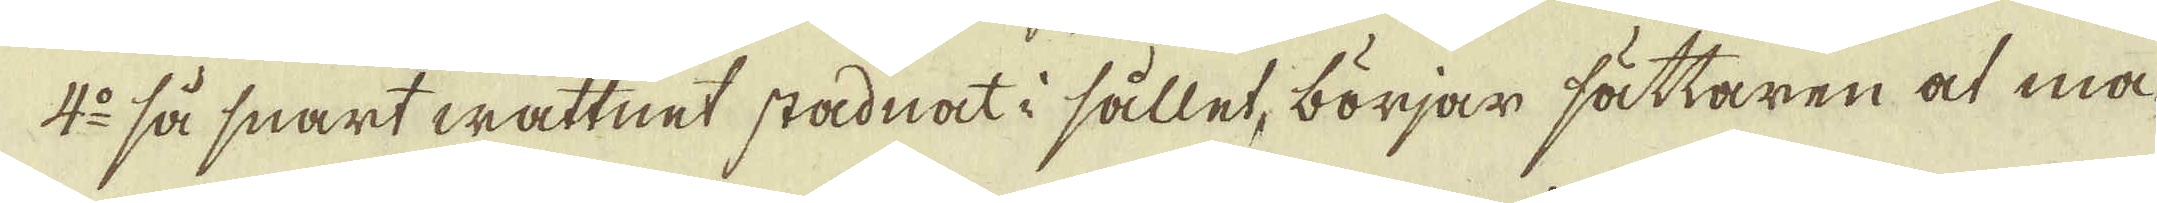4:o så snart wattnet stadnat i sållet, börjar sättaren at må-
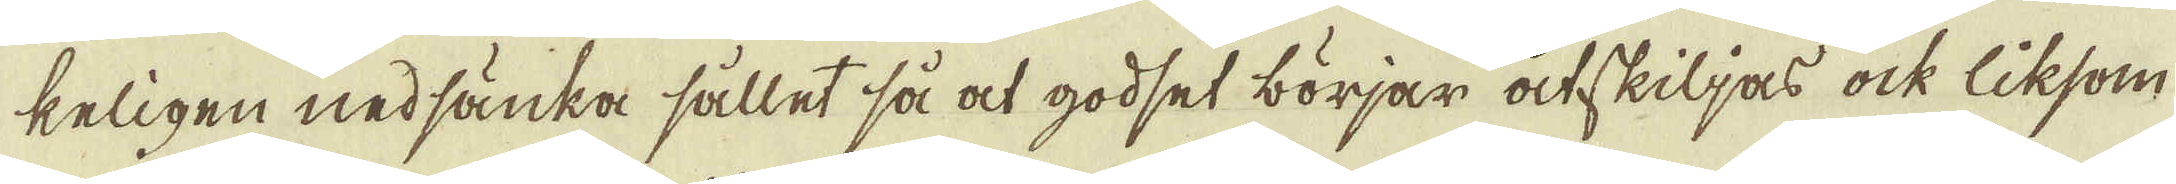keligen nedsänka sållet så at godset börjar åtskiljas ock liksom
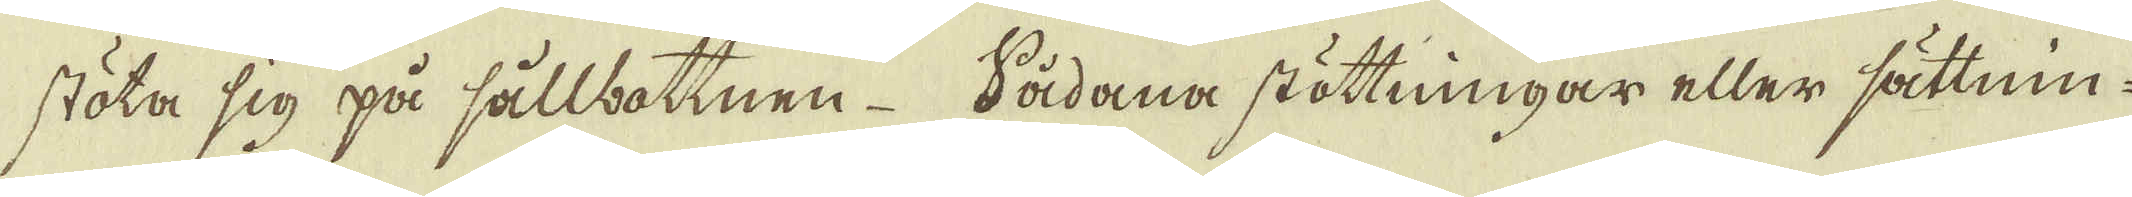stöta sig på sållbottnen. Sådana stöttningar eller sättnin-
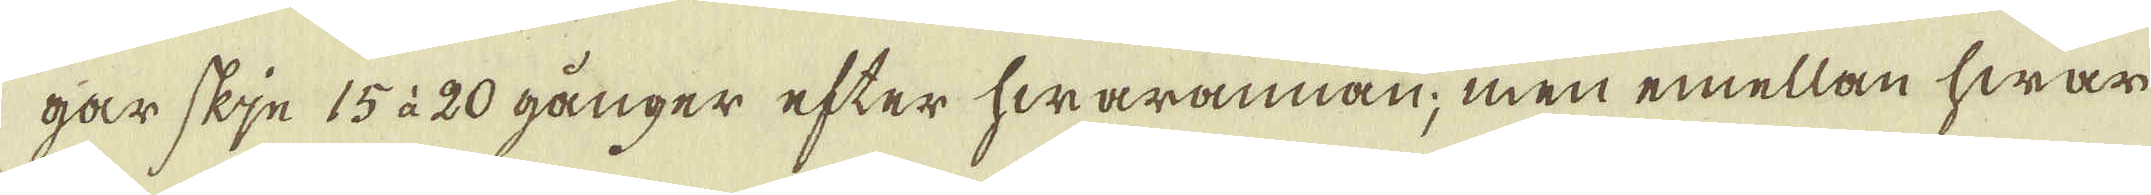gar skje 15 à 20 gånger efter hwarannan; men emellan hwar
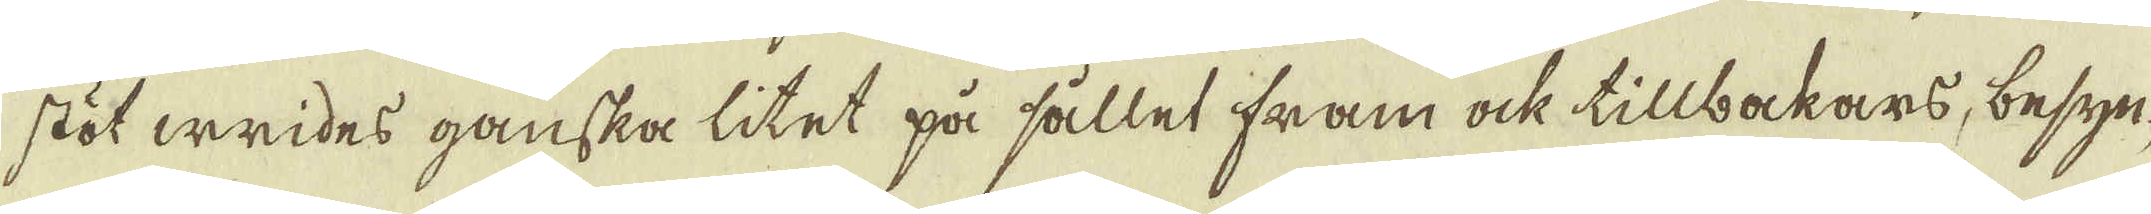stöt wrides ganska litet på sållet fram ock tillbakars, besyn-
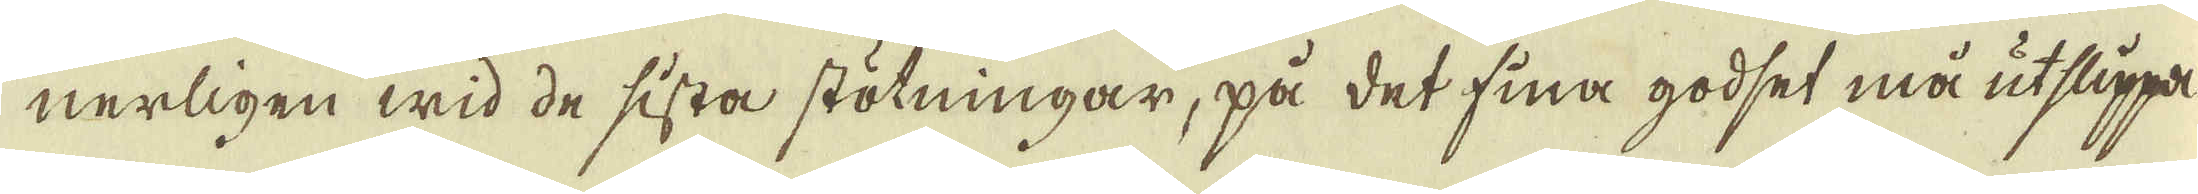nerligen wid de sista stötningar, på det fina godset må utslippa
